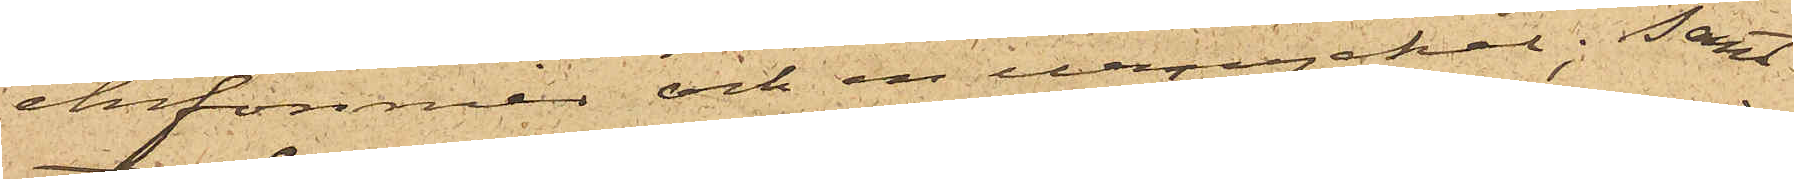chifonnier och en urnyckel; samt
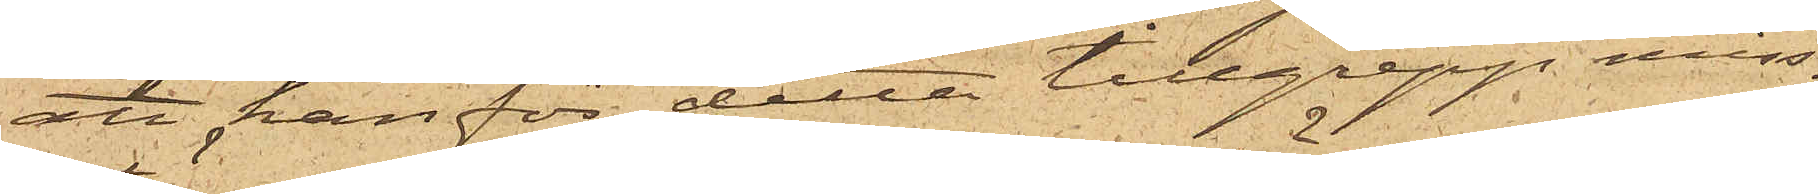att han för detta tillgrepp miss¬
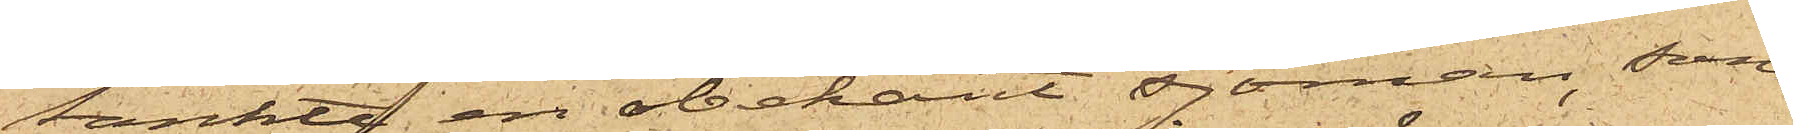tänkte en obekant sjöman, som
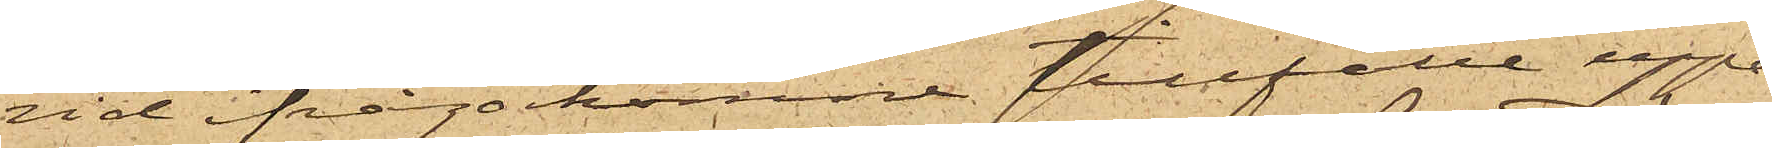vid ifrågakomne tillfälle uppe¬
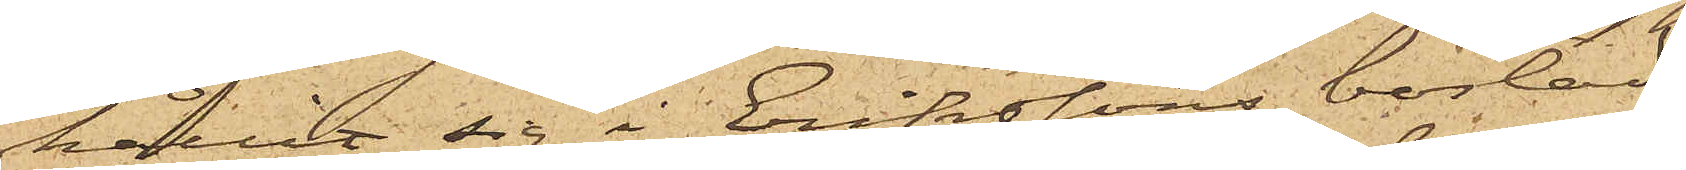hållit sig i Erikssons bostad.
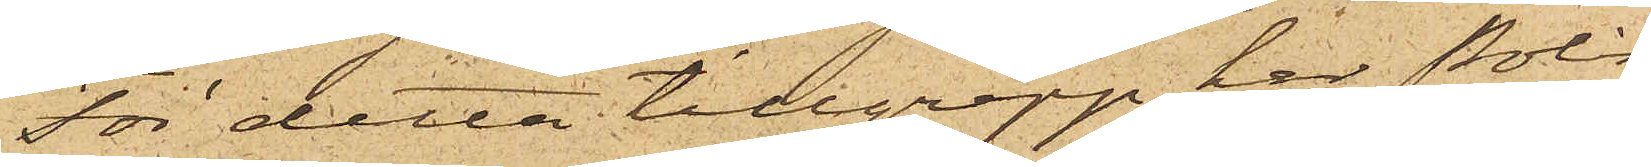För detta tillgrepp har Polis¬
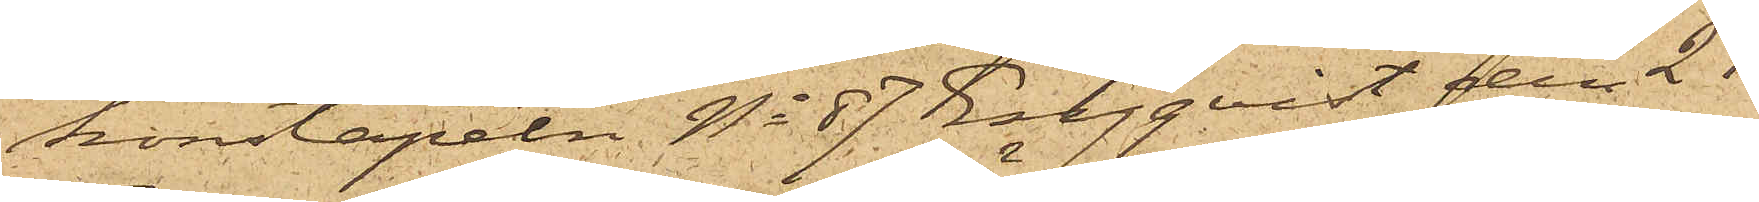konstapeln No 87 Engqvist den 21
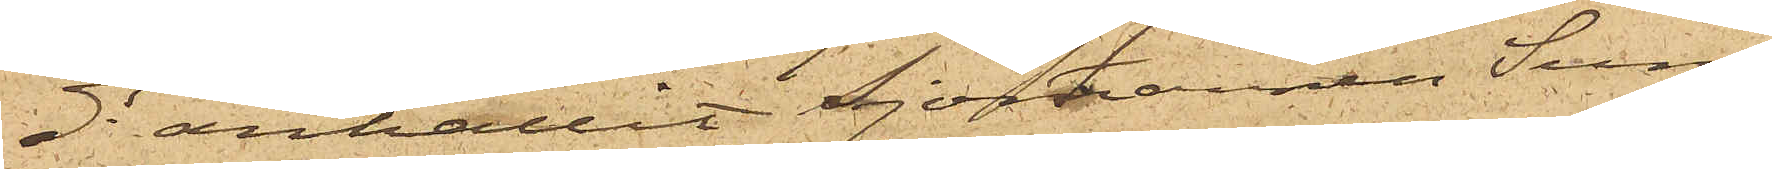ds anhållit Sjömannen Sune
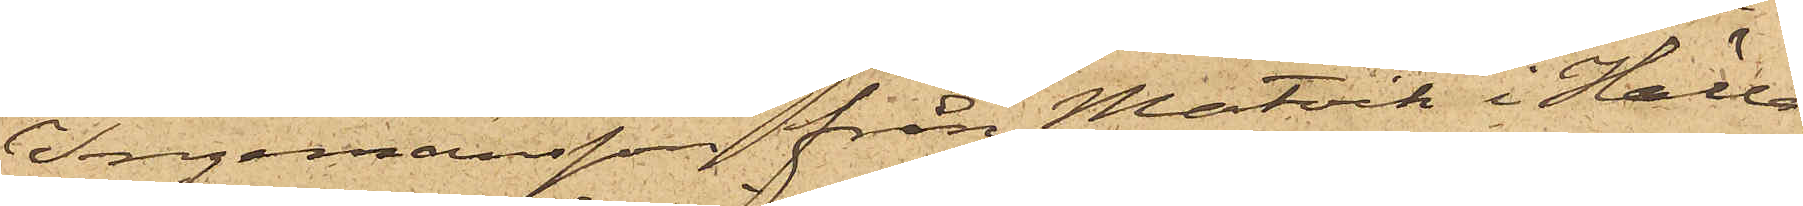Ingemansson från Matvik i Hälla¬
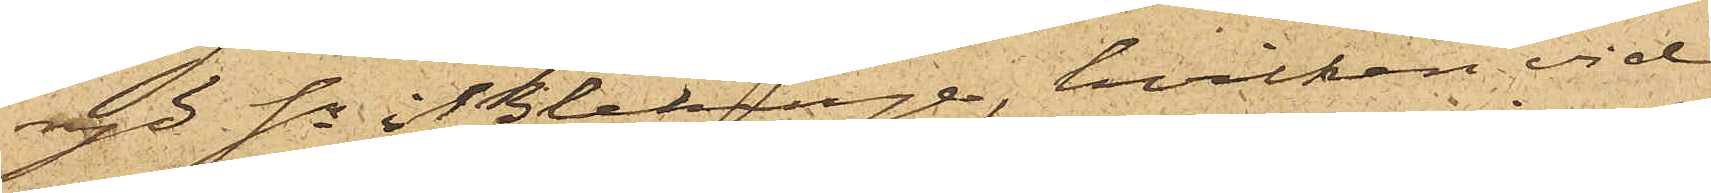ryd Sn i Blekinge, hvilken vid
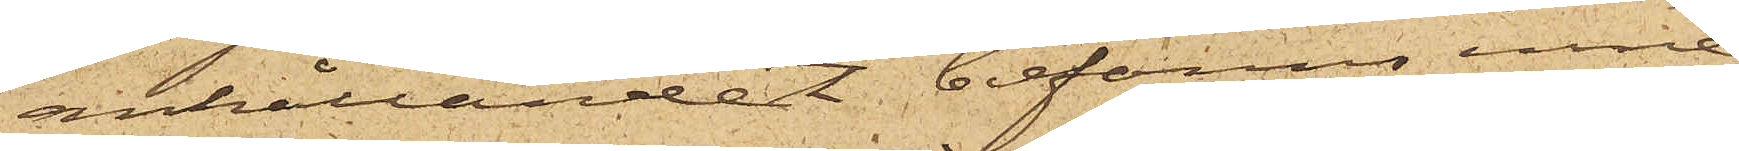anhållandet befanns inne¬
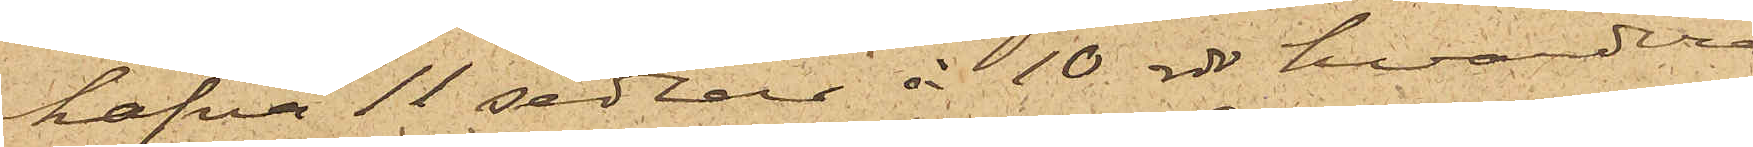hafva 11 sedlar à 10 rdr hvardera
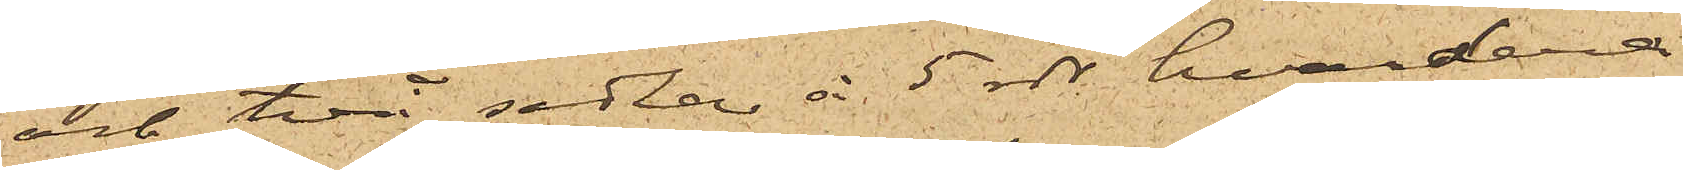och två sedlar à 5 rdr hvardera
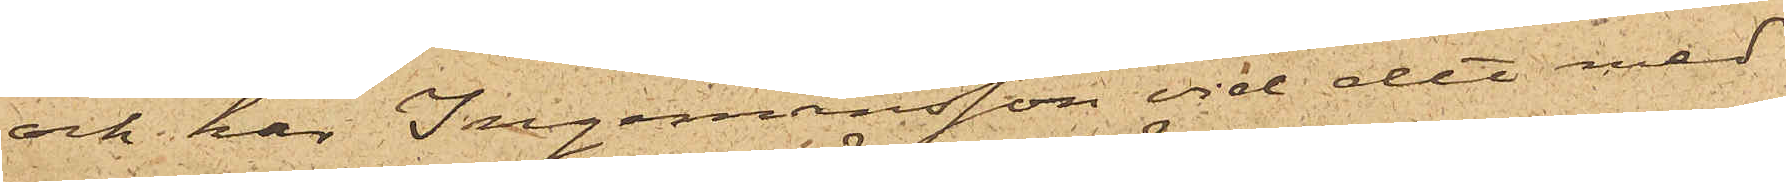och har Ingemansson vid det med
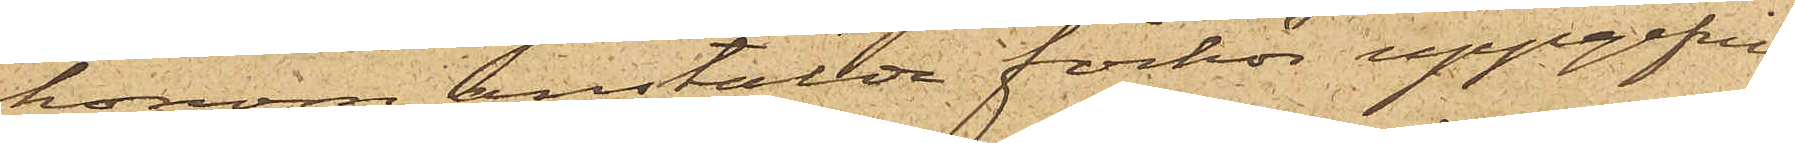honom anstälda förhör uppgifvit,
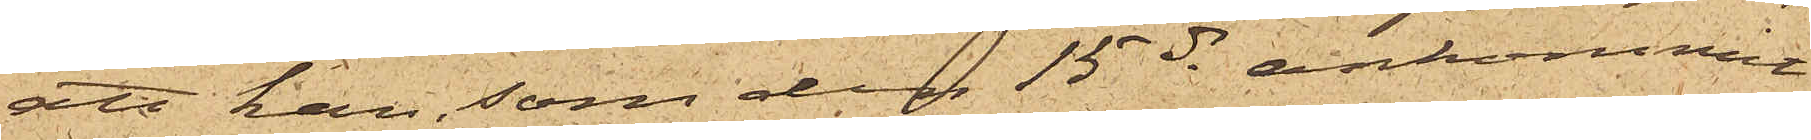att han, som den 15 ds ankommit
